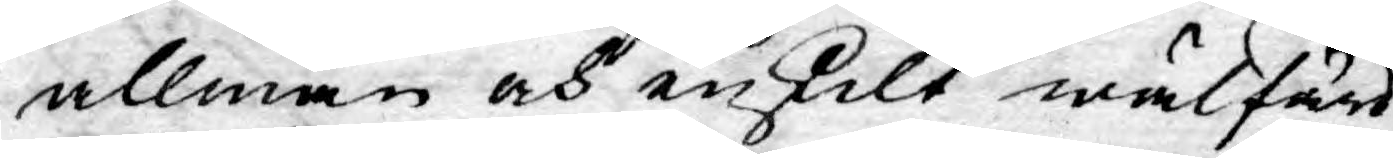allmän och enskilt wälfärd
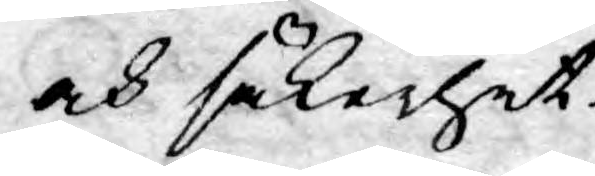och säkerhet.
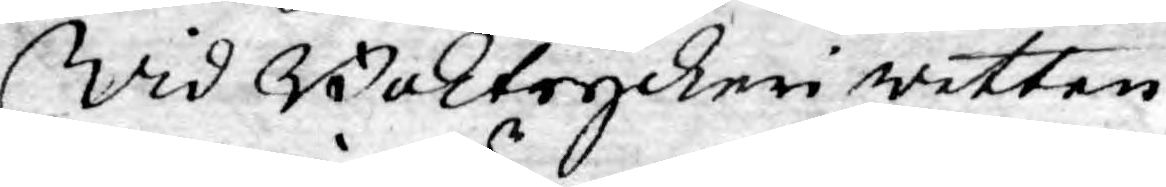Wid Boktryckeri wetten¬
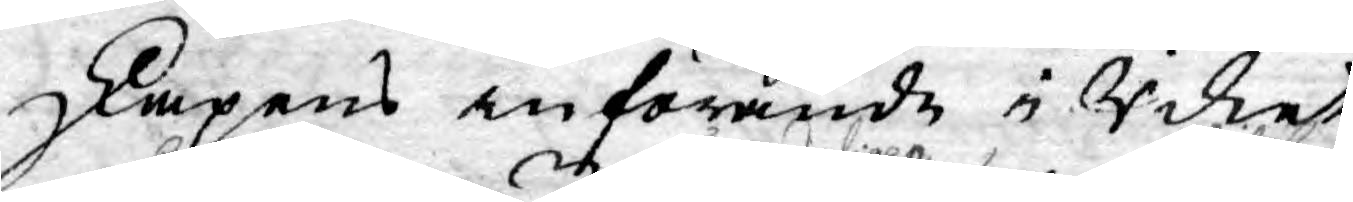skapens införande i Riket
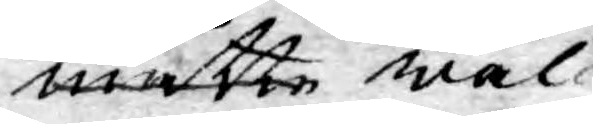måtte wäl
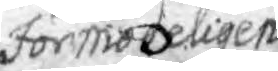förmodeligen
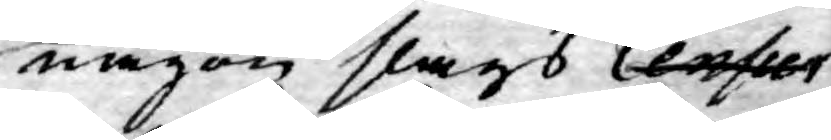någon slags Censur
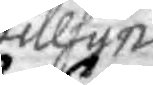tillsyn
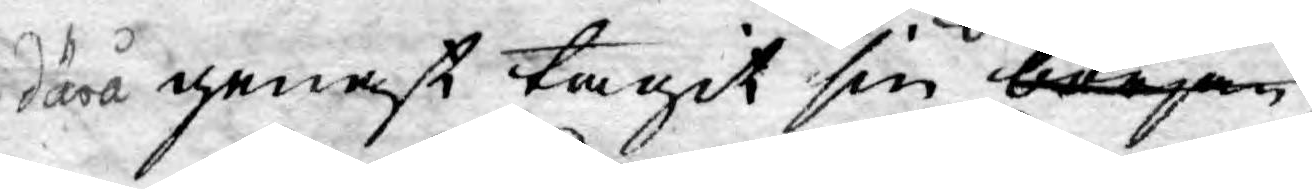därå genast tagit sin början
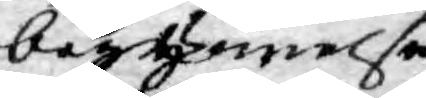begynnelse
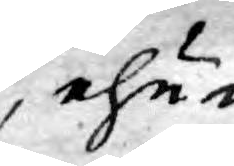ehu¬
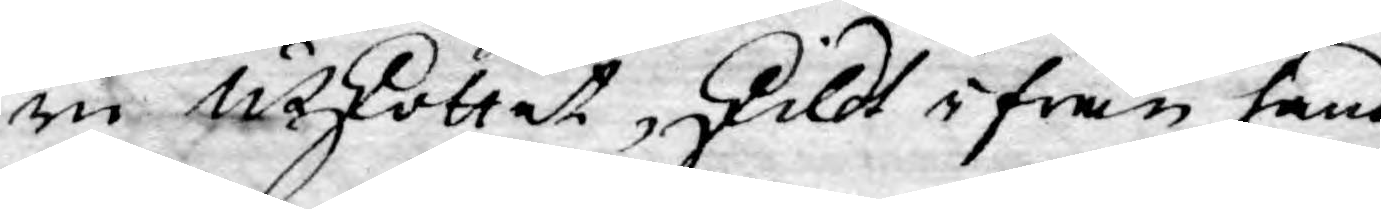ru Utskottet, skildt ifrån hand¬
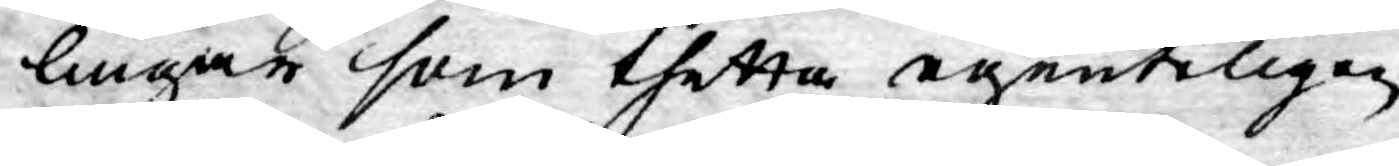lingar som thetta egenteligen
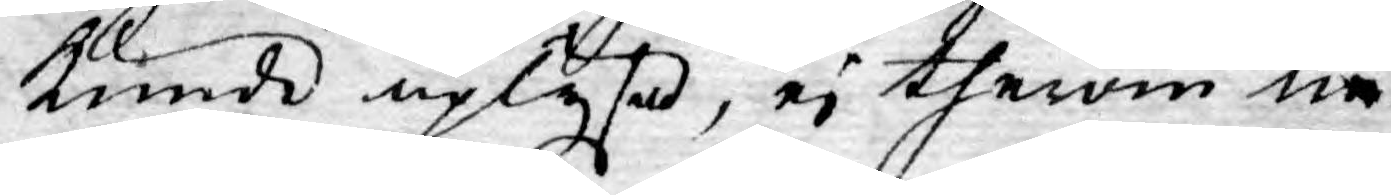kunde uplysa, ej therom nå¬
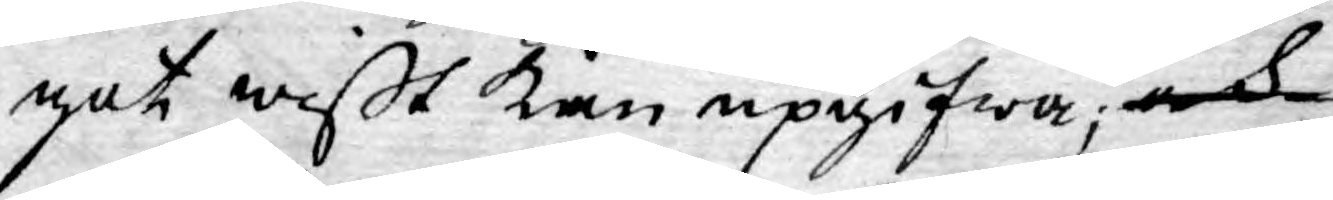got wißt kan upgifwa; och
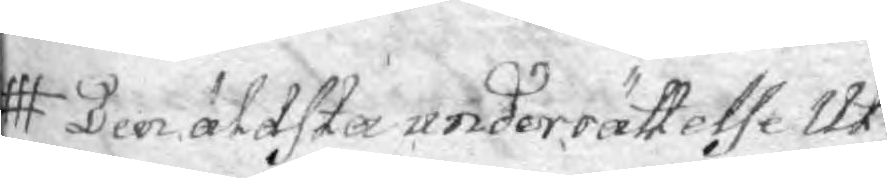Den äldsta underrättelse Ut¬
